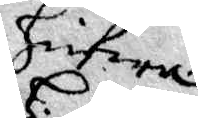hufwa.
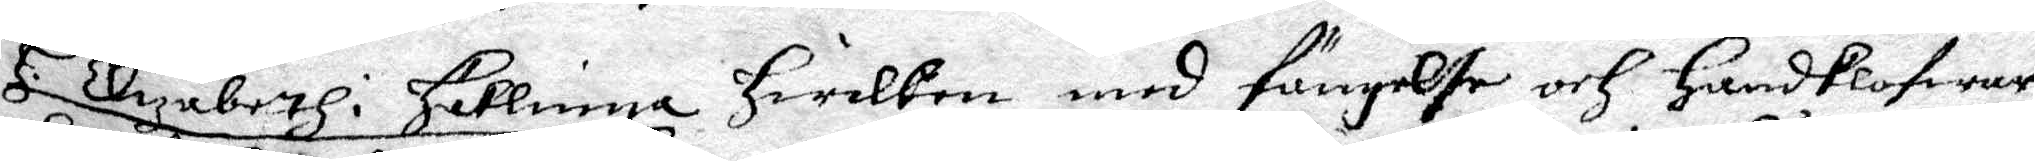H. Elizabeth i Häklinga hwilken med fängelse och Handklofwar
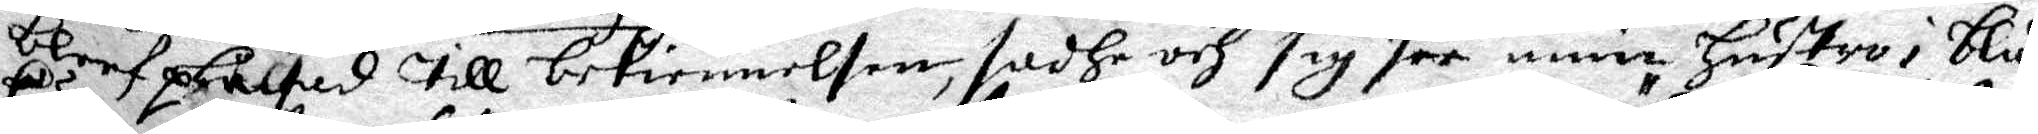bref plågad till bekiennelsen sadhe och sig see min hustro i blå¬
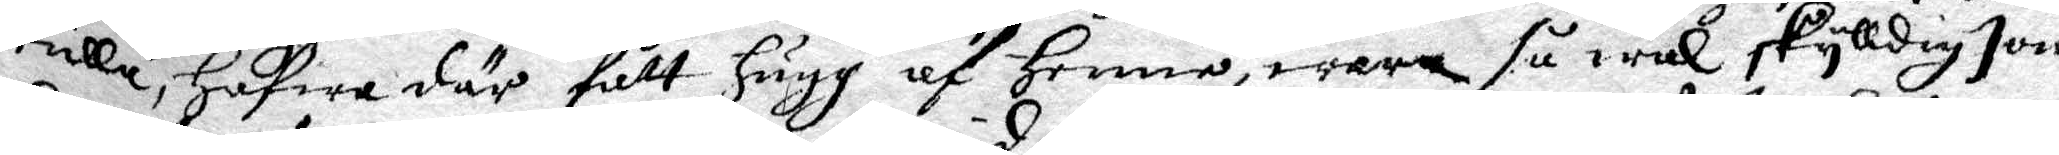kulla, hafwa där fålt hugg af Henne, wara så wäl skylldig som
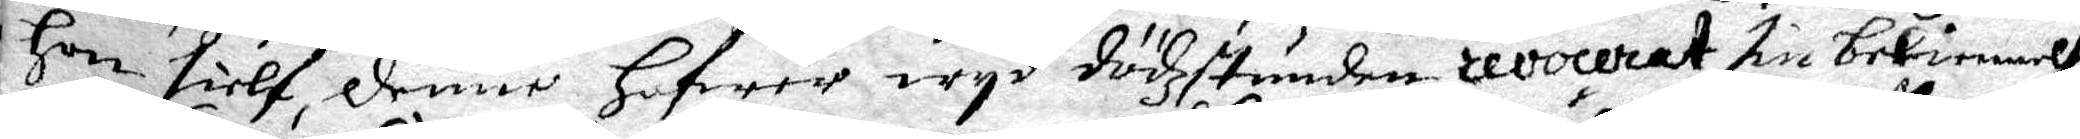hon sielf, denne hafwer wyd dödzstunden revocerat sin bekiennelse
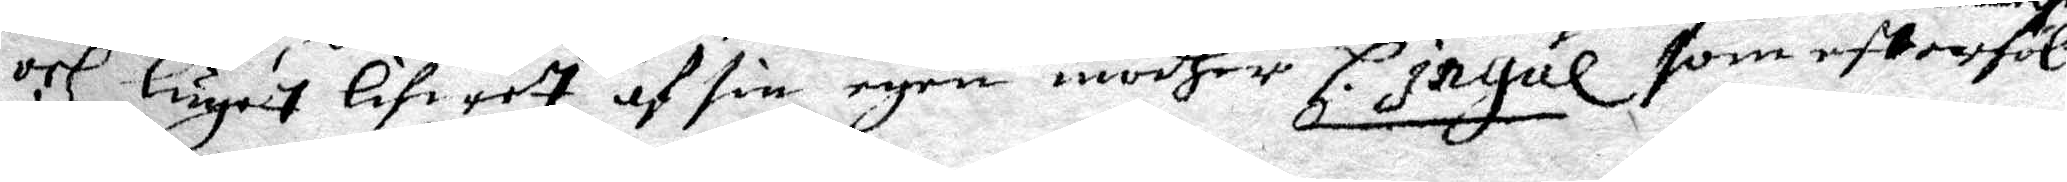och luget lifwet af sin egen modher H.Ingäl som efterföl¬
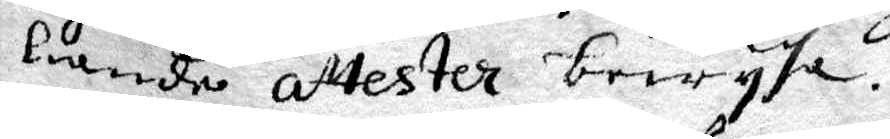liande attester bewysa.
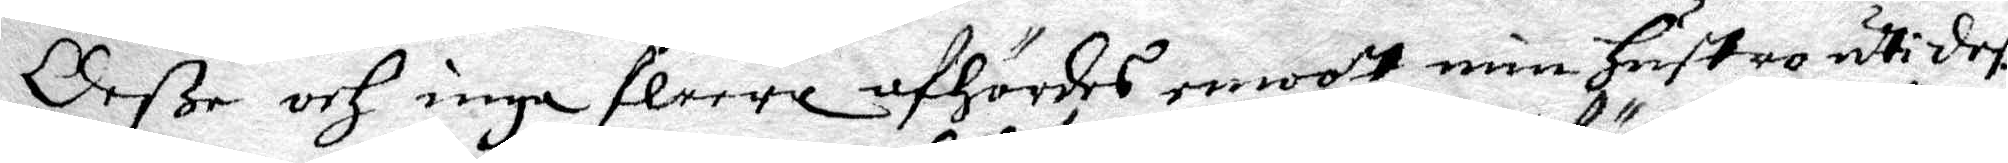Deße och inga fleera afhördes emoott min hustro uti deß
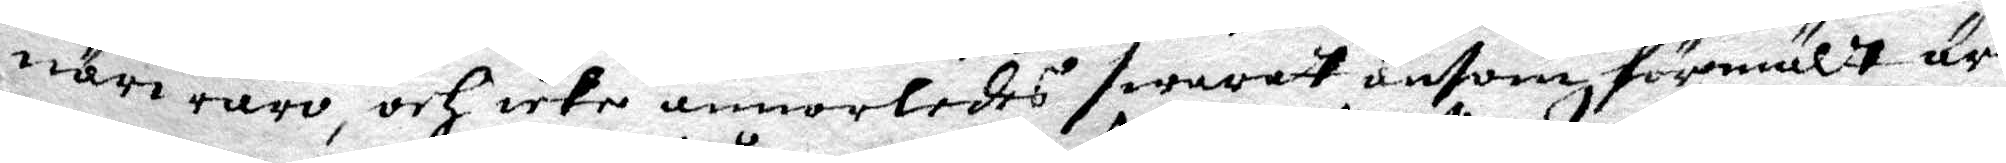närwwaro, och icke annorledes swarat äntom förmält är.
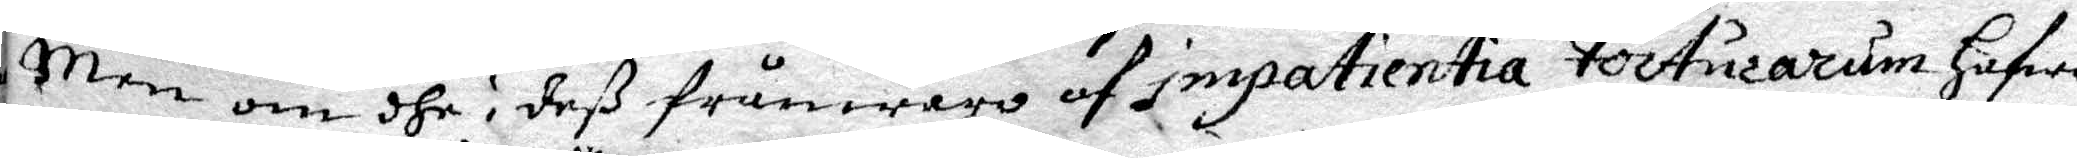Men om dhe i deß frånwaro af impatientia Tocturarum hafwe
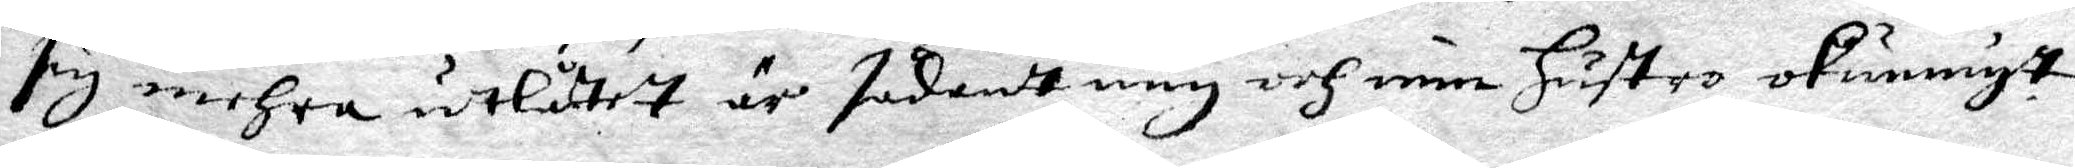sig mehra utlåtit är sådantt mig och min hustro okunnigt.
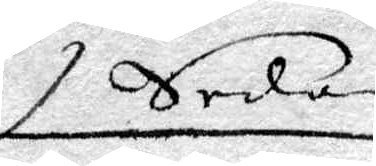Sedan
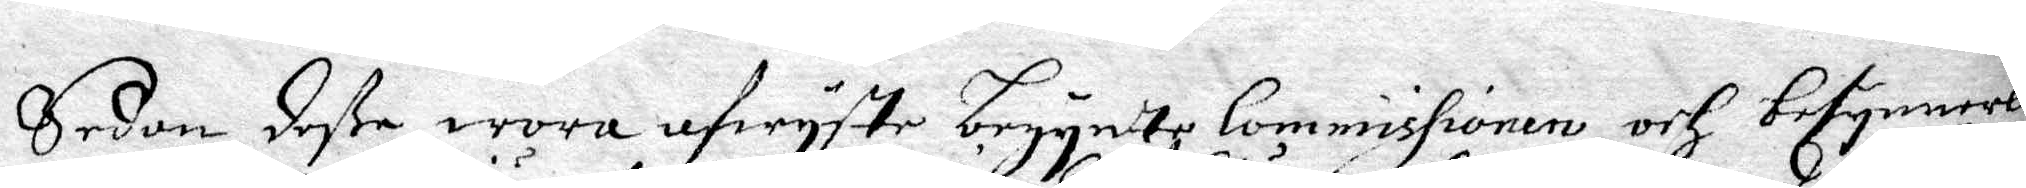Sedabn deße woro afwyste begynte Commissionen och besynnerlig
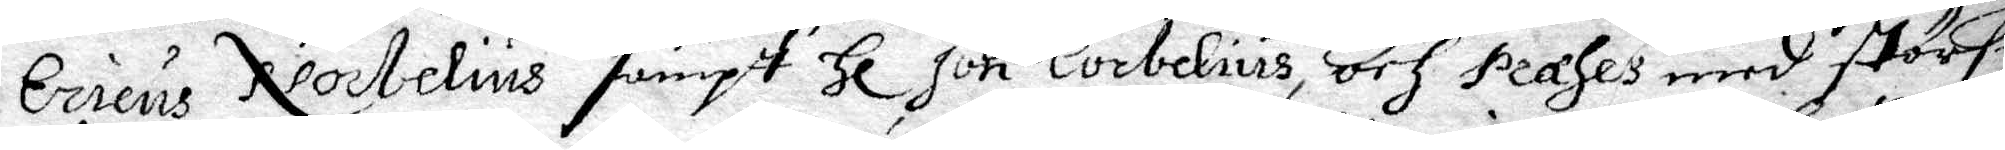Ericus Nocbelius sampt Hl Jon Corbelius och Præses med största
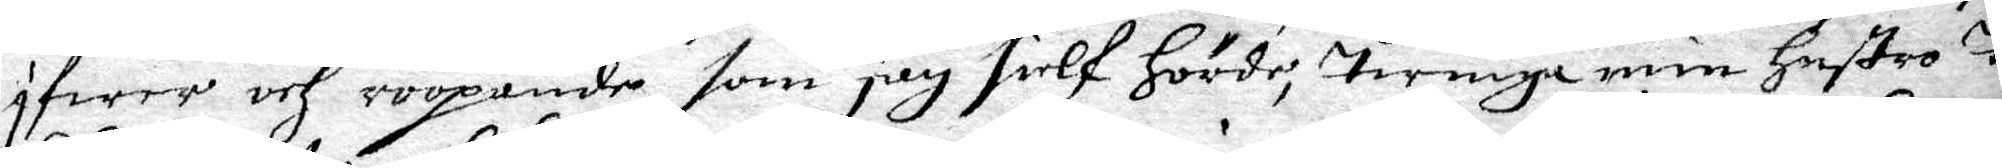ifwer och roopande som jag sielf hörde, twinga min hustro til
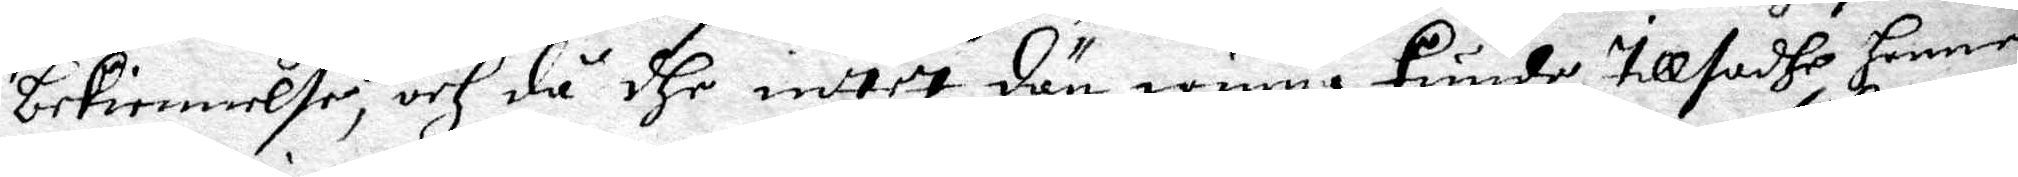bekiennelse, och då dhe intet dän winna kunde, tillsadhe henne
